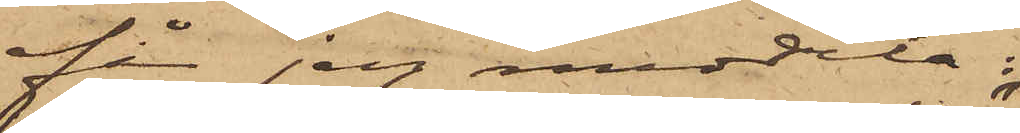får jag meddela:
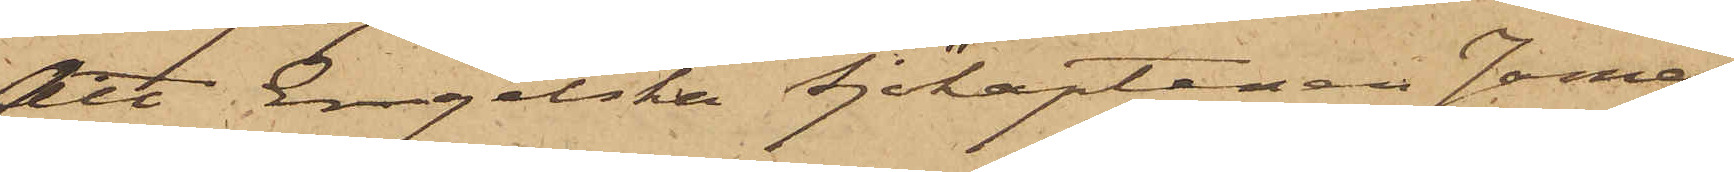att Engelska Sjökaptenen James
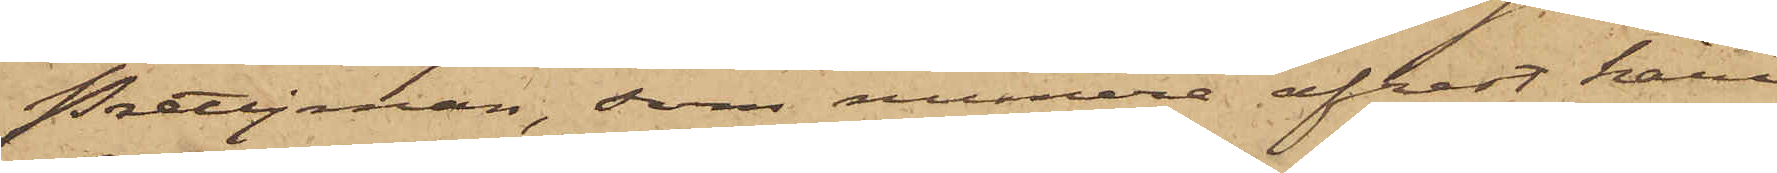Prettyman, som numera afrest häri¬
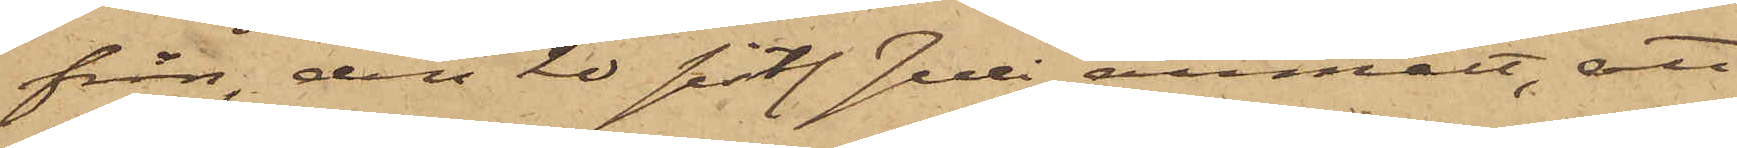från, den 20 sistl. Juli anmält, att
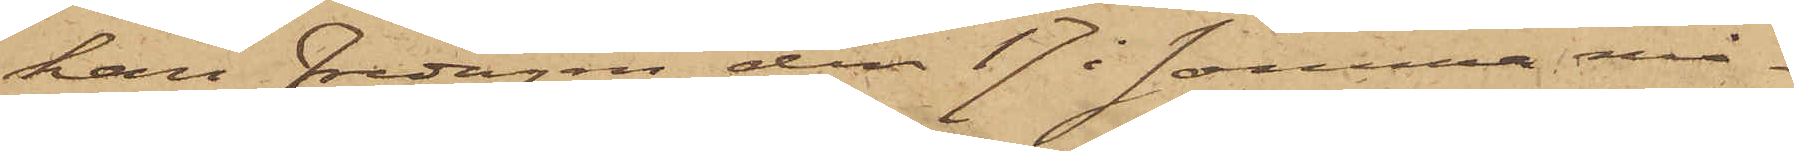han Fredagen den 17 i samma må¬
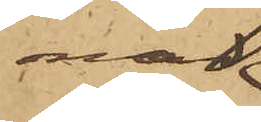nad
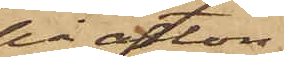på afton
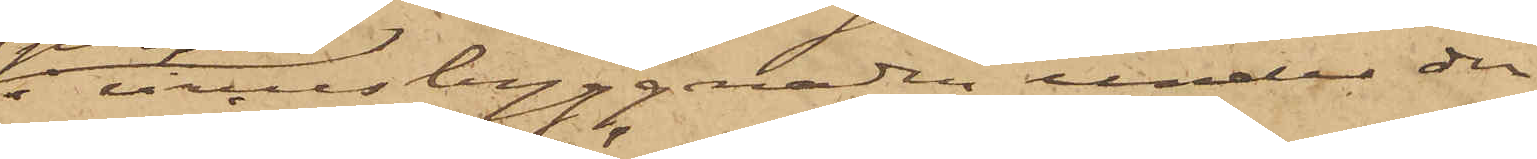i circusbyggnaden, under der
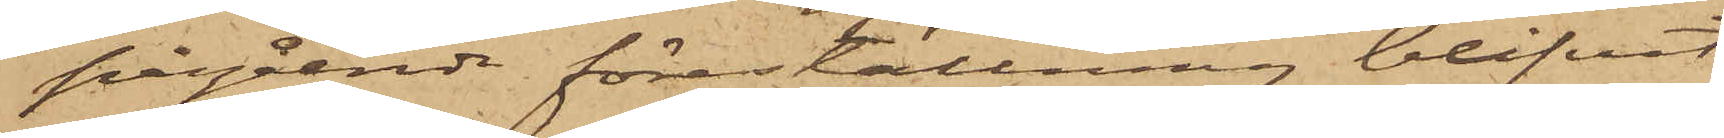pågående föreställning blifvit
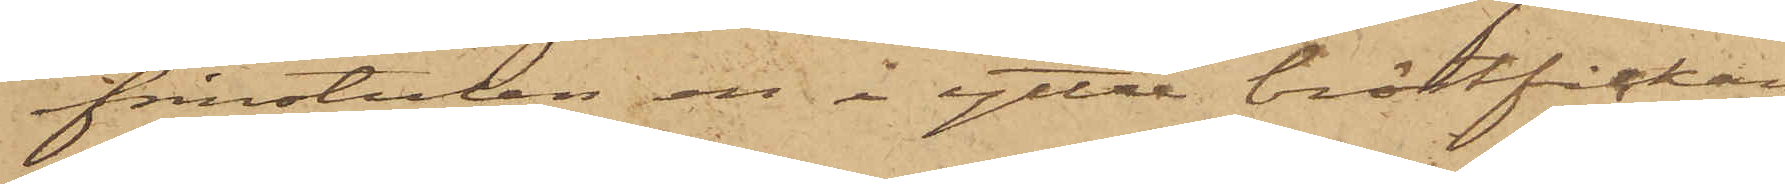frånstulen en i yttre bröstfickan
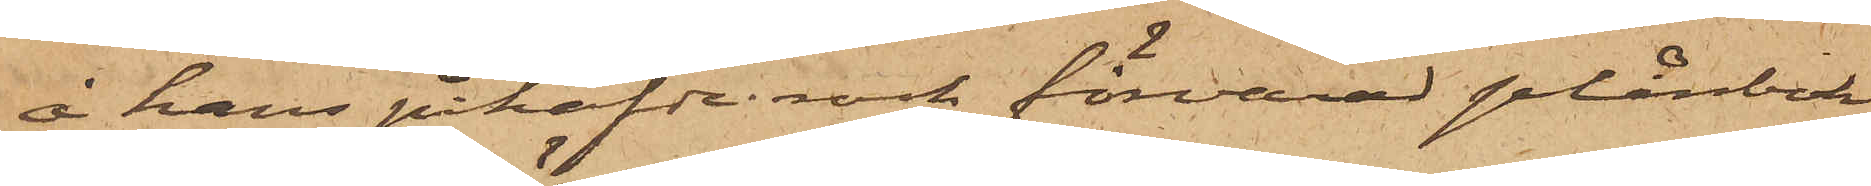å hans påhafde rock förvarad plånbok
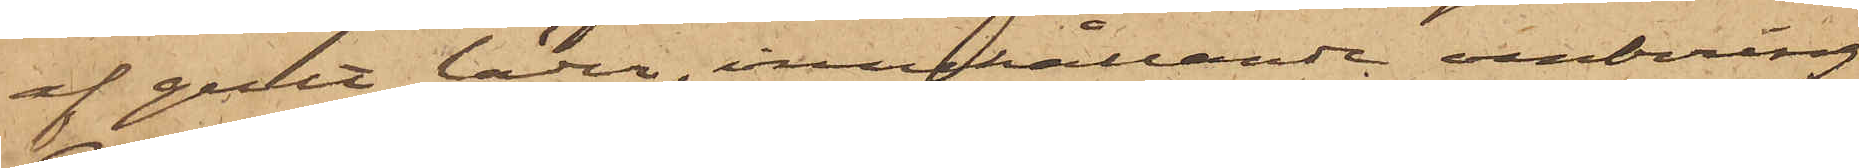af gult läder, innehållande omkring
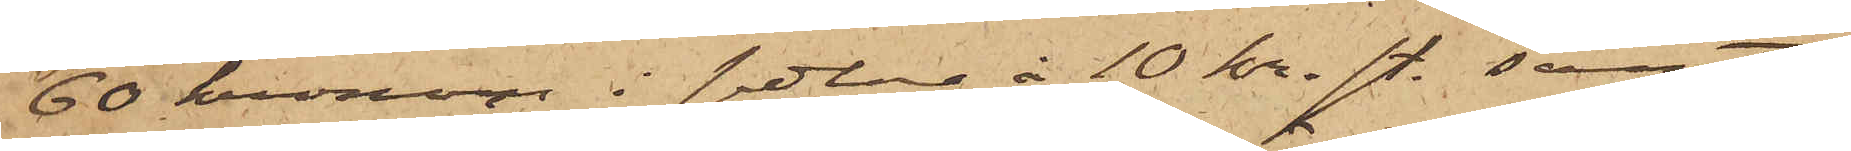60 kronor i sedlar å 10 kr. st. samt
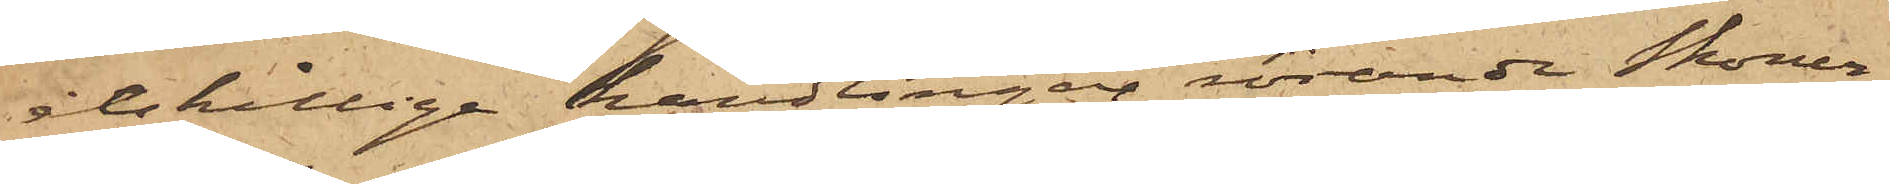åtskillige handlingar rörande Skoner¬
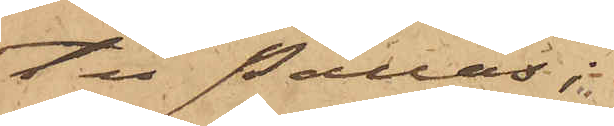ten Pallas;
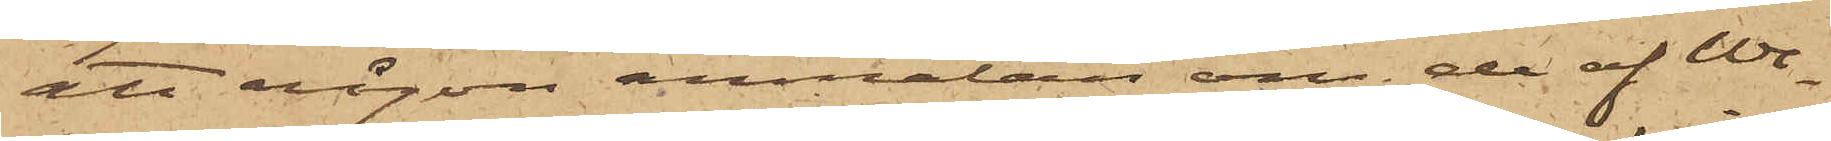att någon anmälan om de af We¬
